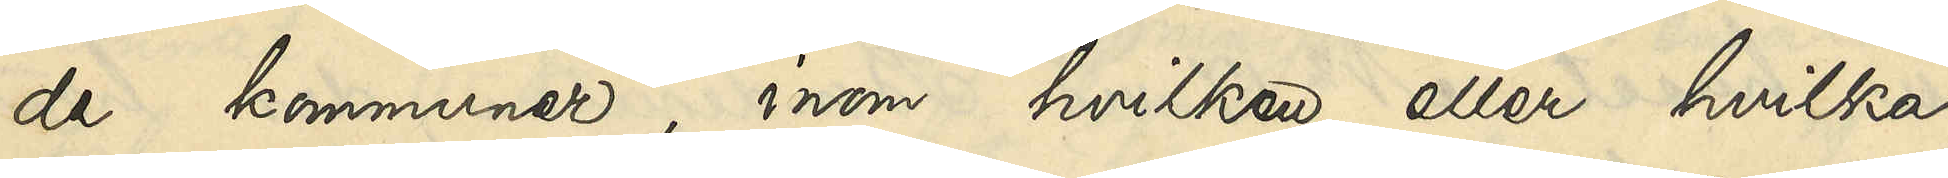de kommuner, inom hvilken eller hvilka
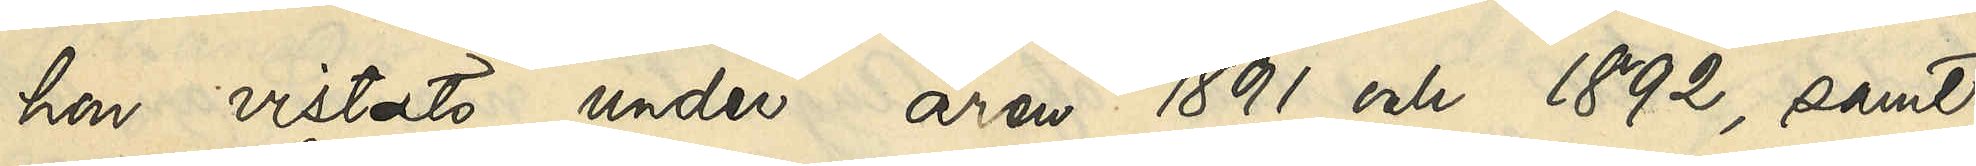hon vistats under åren 1891 och 1892, samt
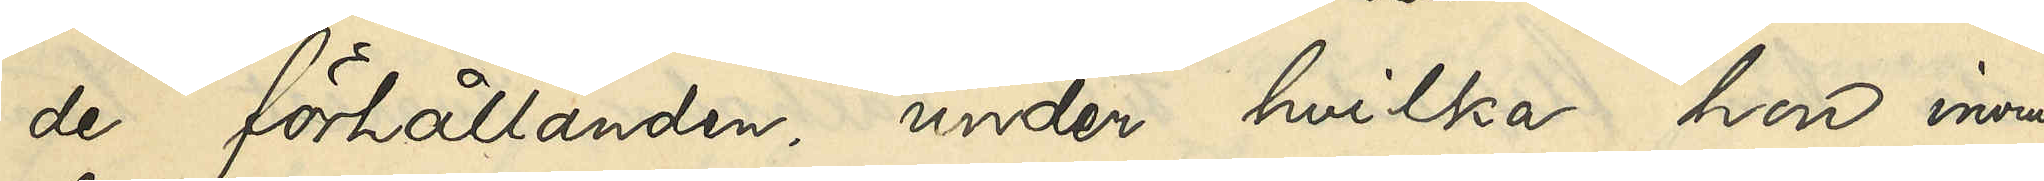de förhållanden, under hvilka hon inom
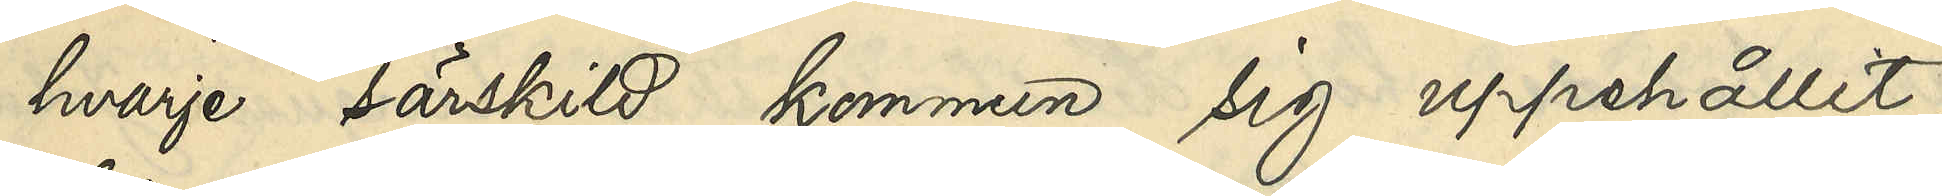hvarje särskild kommun sig uppehållit,
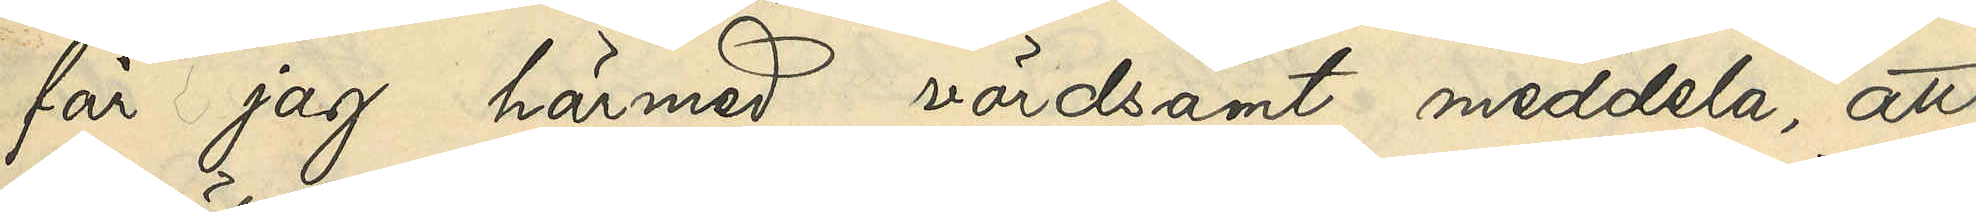får jag härmed vördsamt meddela, att
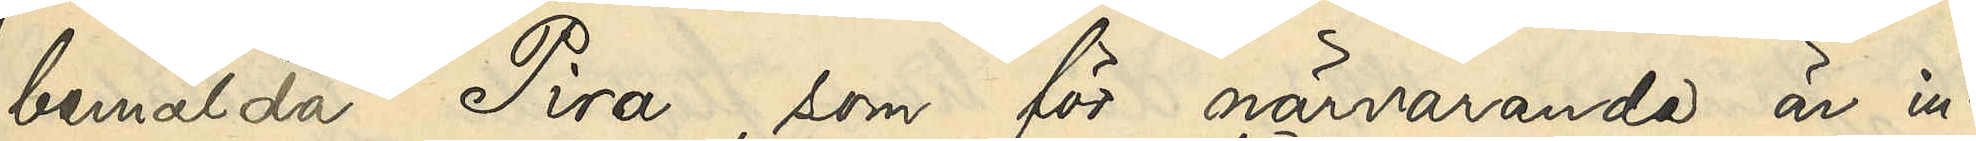bemälda Pira, som för närvarande är in¬
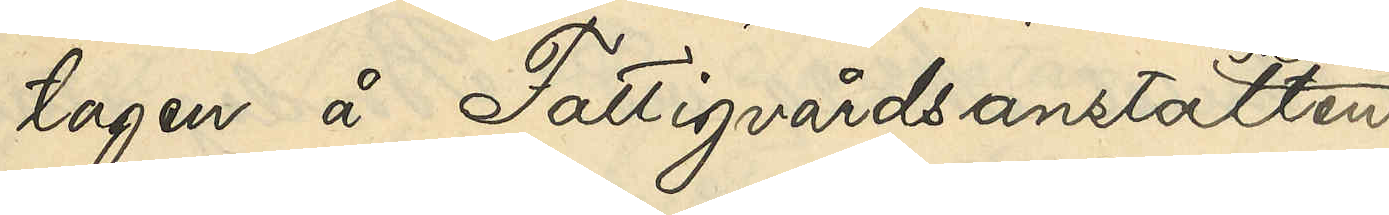tagen å Fattigvårdsanstalten
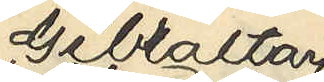Gibraltar
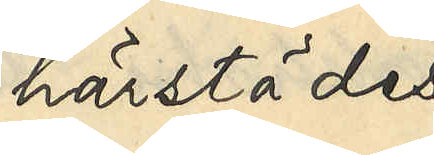härstädes,
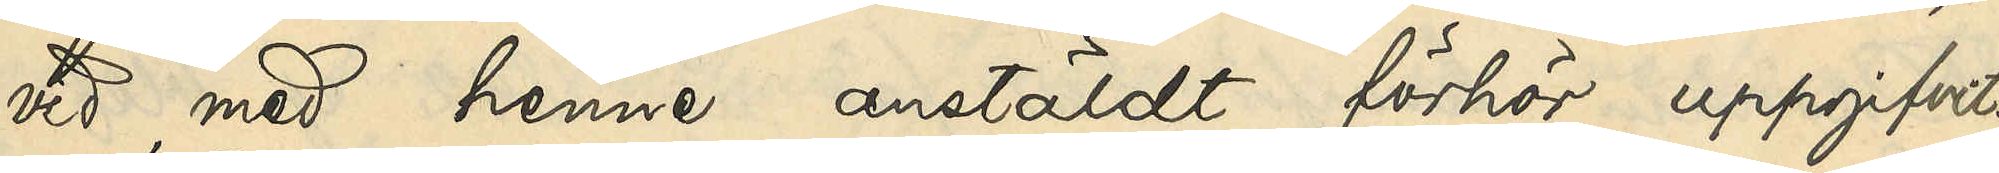vid med henne anstäldt förhör uppgifvit
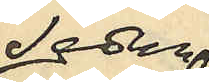Sedan
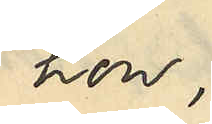hon
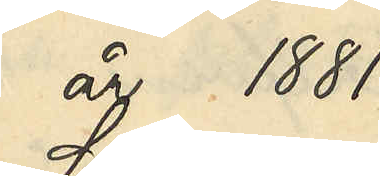år 1881
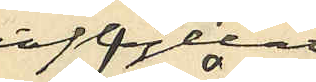inflyttat
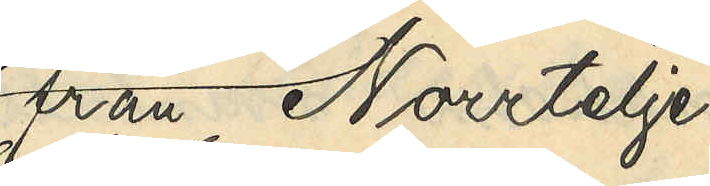från Norrtelje
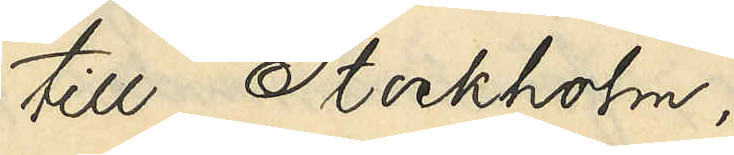till Stockholm
